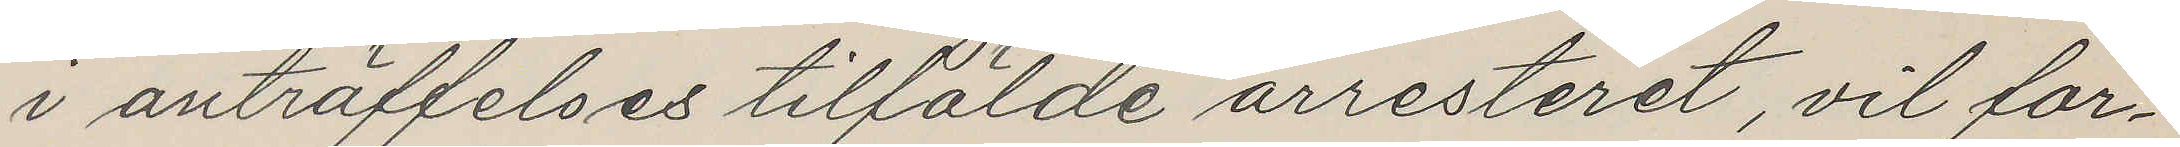i anträffelses tilfälde arresteret, vil for¬
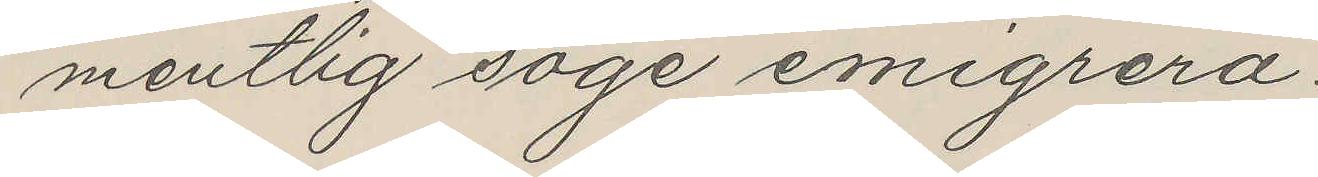mentlig söge emigrera.
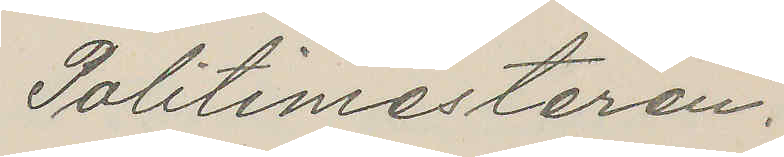Politimesteren.
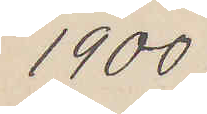1900
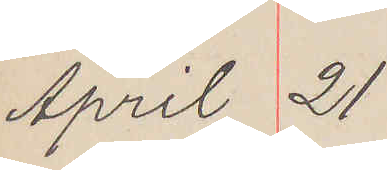April 21
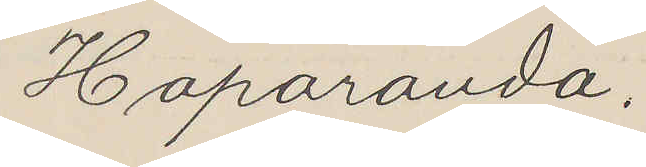Haparanda.
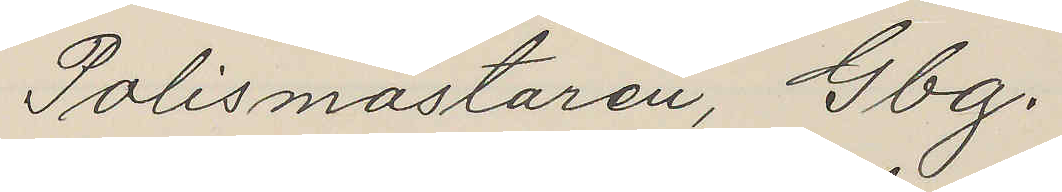Polismästaren, Gbg.
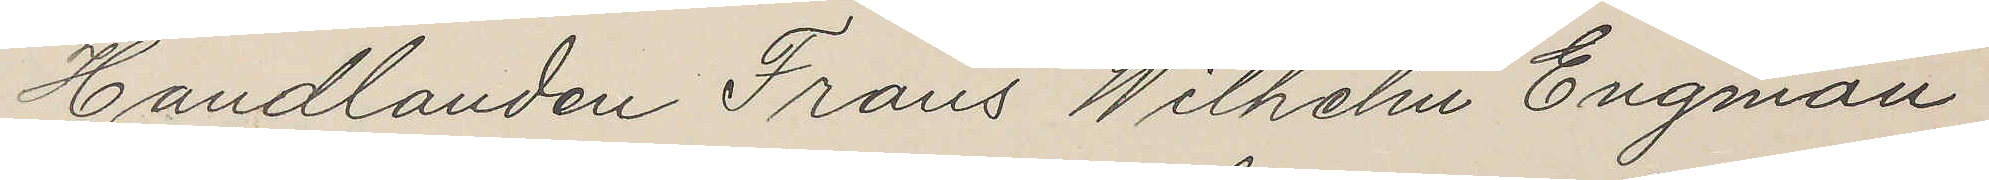Handlanden Frans Wilhelm Engman
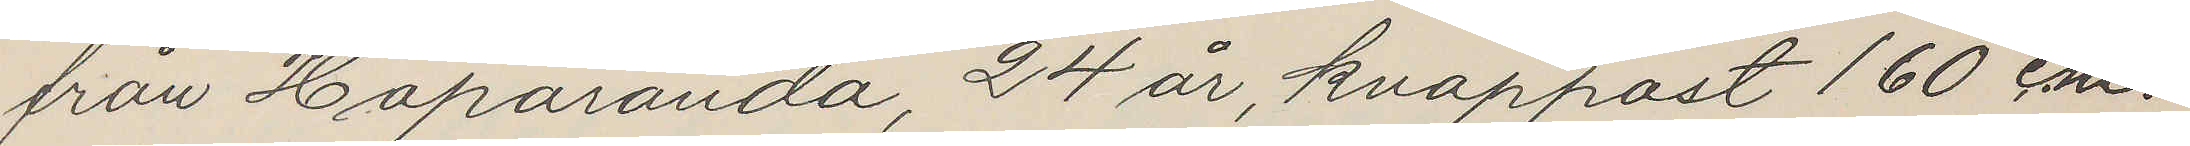från Haparanda, 24 år, knappast 160 c.m.
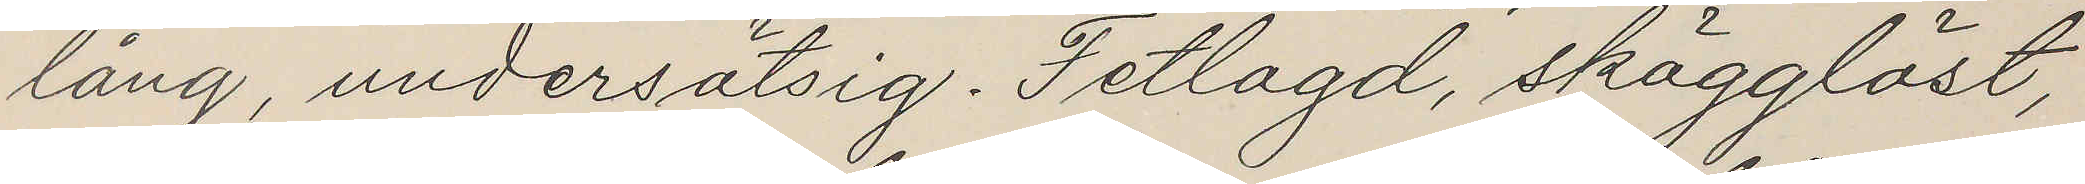lång, undersätsig. Fetlagd, skägglöst,
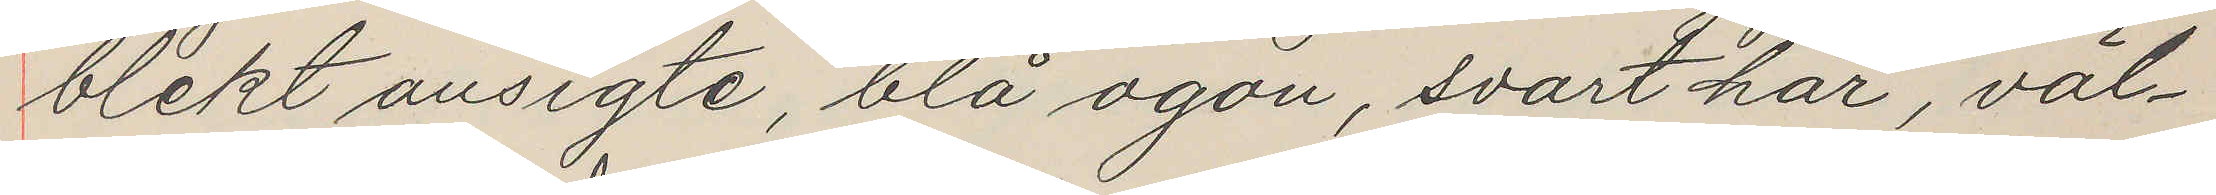blekt ansigte, blå ögon, svart hår, väl¬
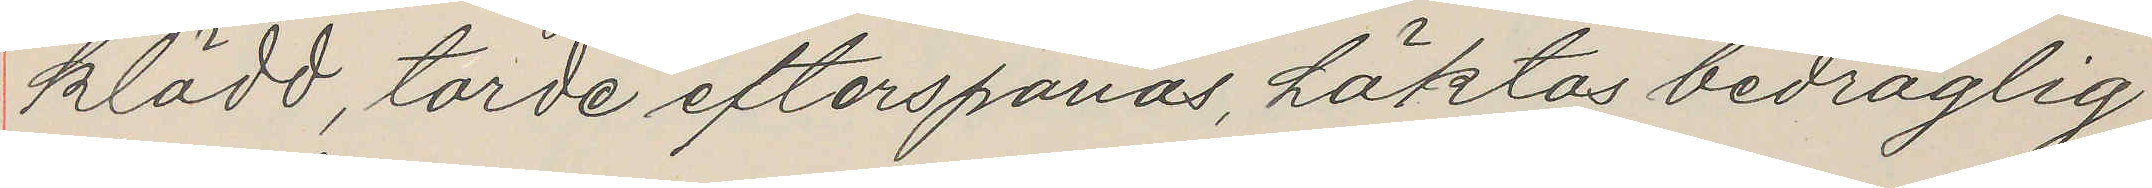klädd, torde efterspanas, häktas bedräglig
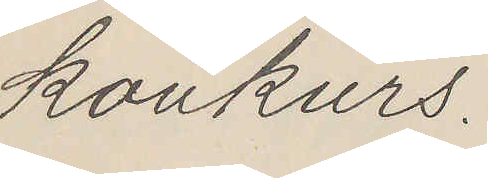konkurs.
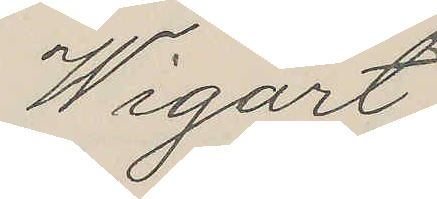Wigart
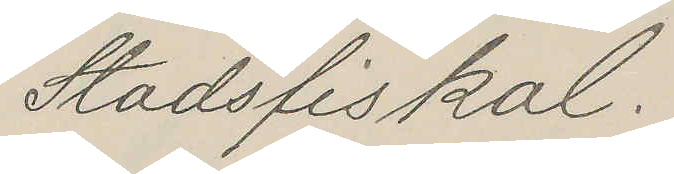Stadsfiskal.
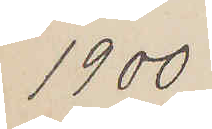1900
